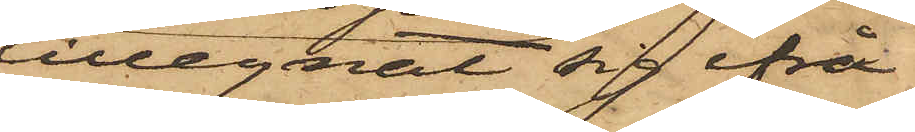tillegnat sig ifrå¬
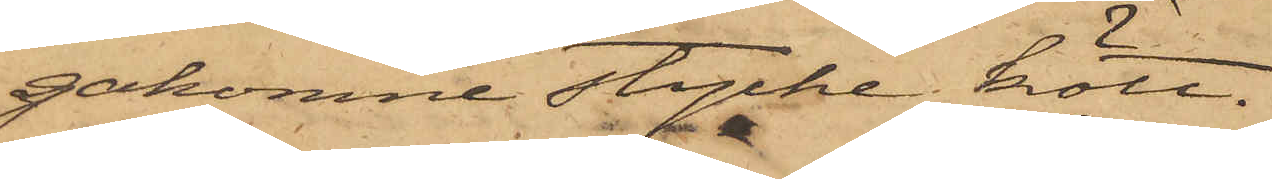gakomne stycke kött.
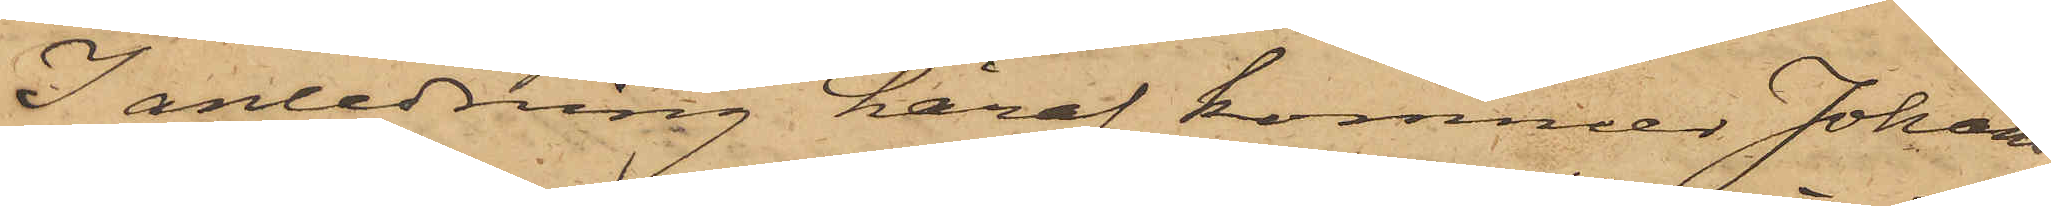I anledning häraf kommer Johans¬
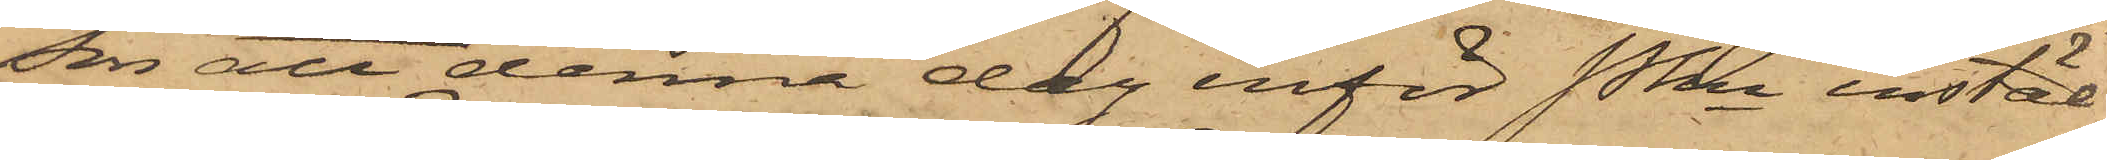son att denna dag inför Pkn instäl¬
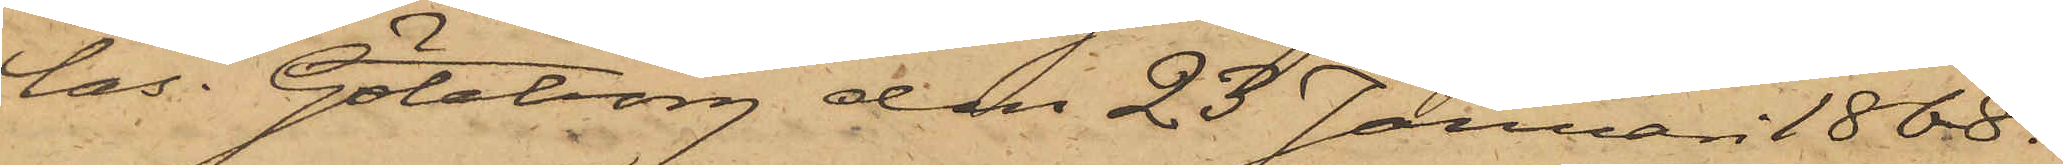las. Göteborg den 23 Januari 1868.
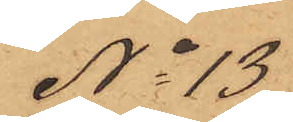No 13
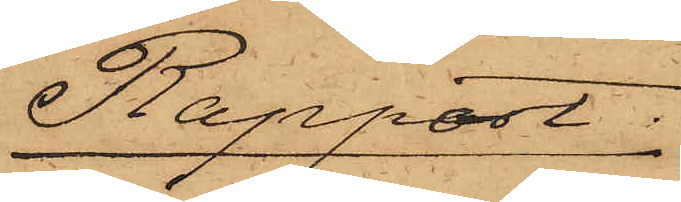Rapport.
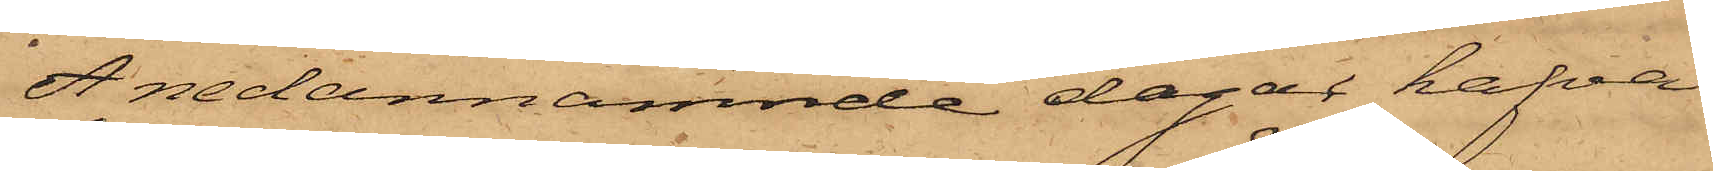Å nedannämnde dagar hafva
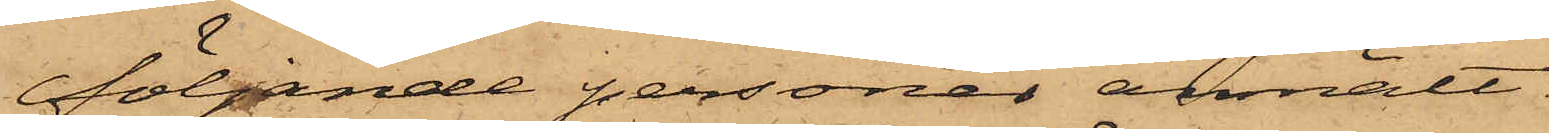följande personer anmält:
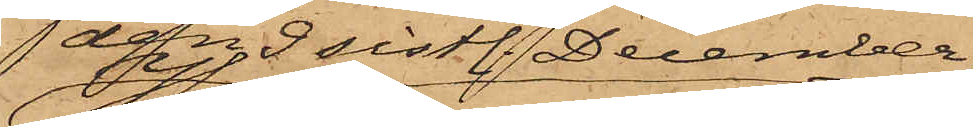den 9 sistl. December
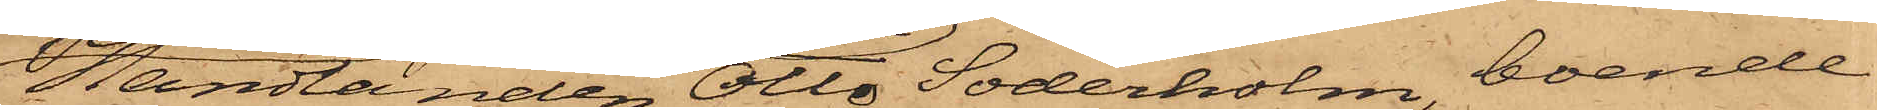Handlanden Otto Söderholm, boende
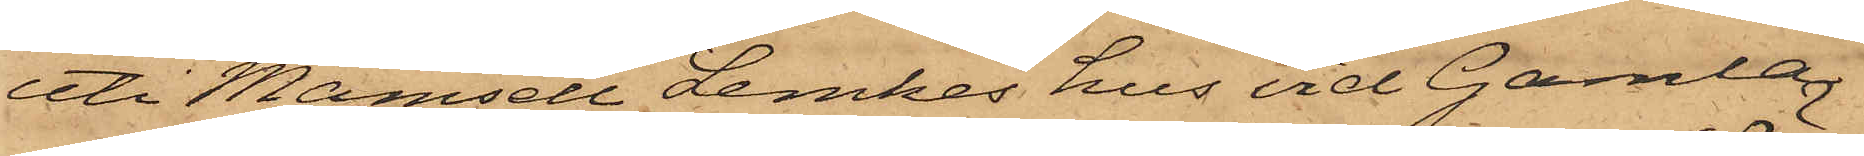uti Mamsell Lemkes hus vid Gamla
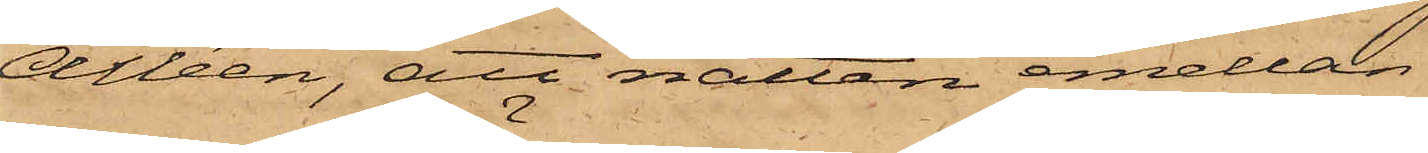Alléen, att natten emellan
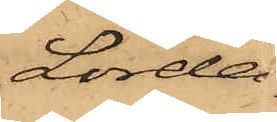Lörda¬
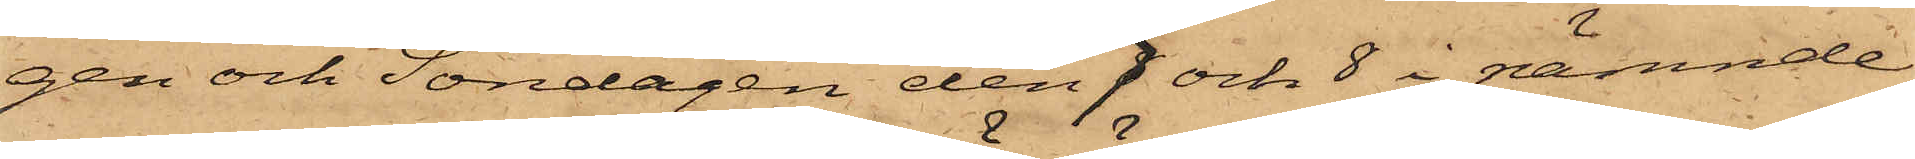gen och Söndagen den 7 och 8 i nämnde
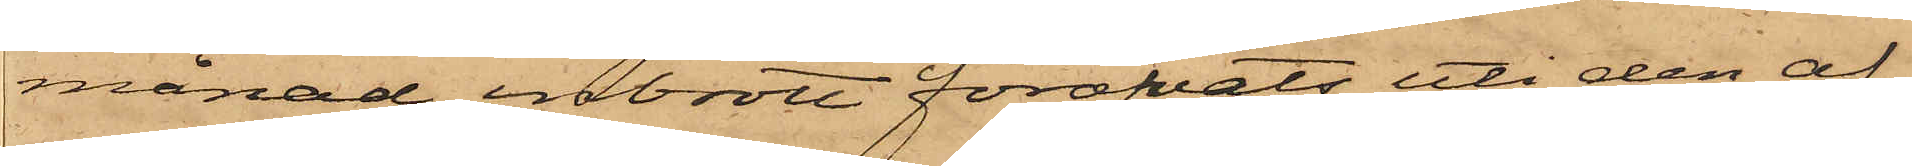månad inbrott föröfvats uti den af
